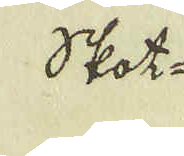Skot-
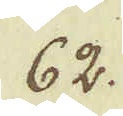62.
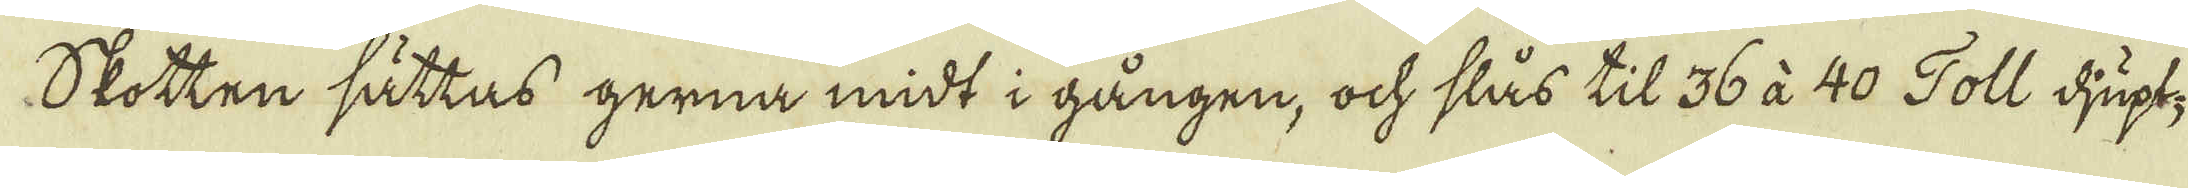Skotten sättas gerna midt i gången, ock slås til 36 à 40 Toll djupt;
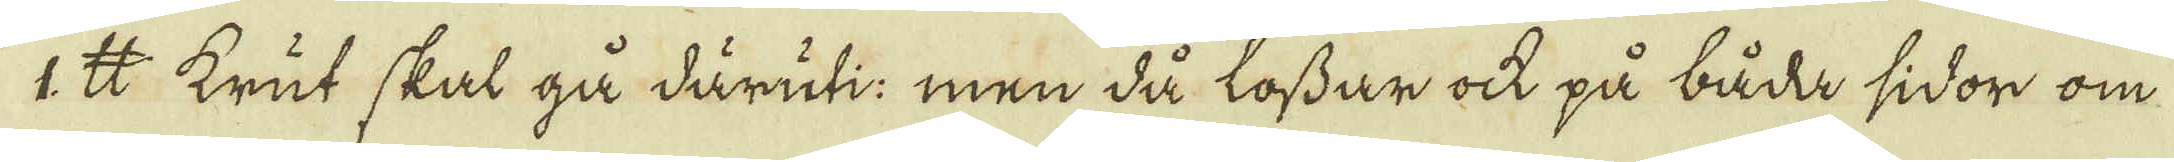1℔ krut skal gå däruti men då lossar ock på båda sidor om
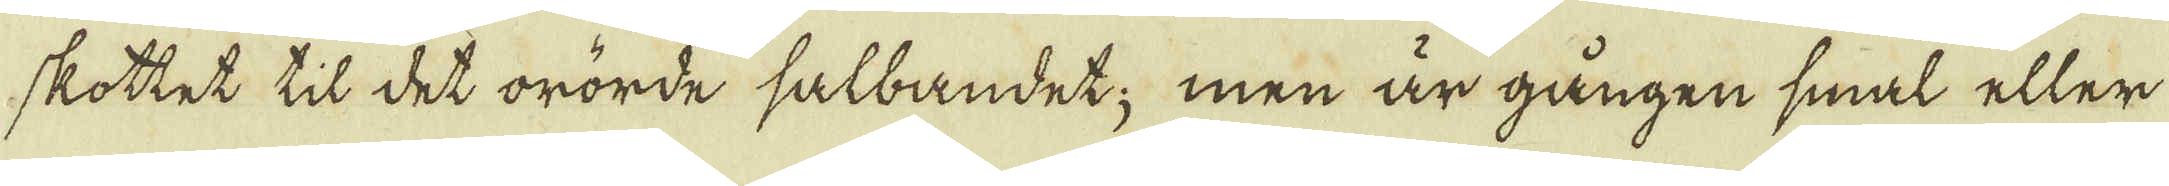skottet til det orörde salbandet; men är gången smal eller
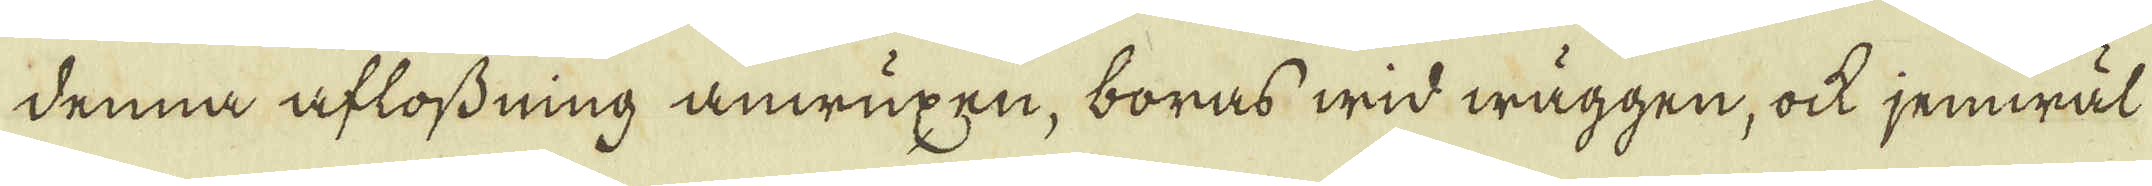denna aflossning anwuxen, boras wid wäggen, ock jemwäl
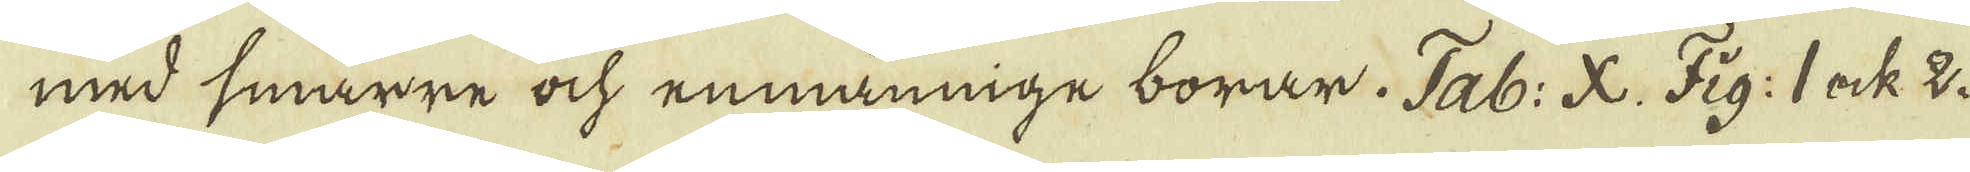med smärre ock enmännige borar. Tab: X. Fig: 1 ock 2.
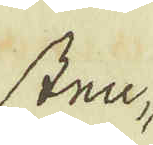Sten,
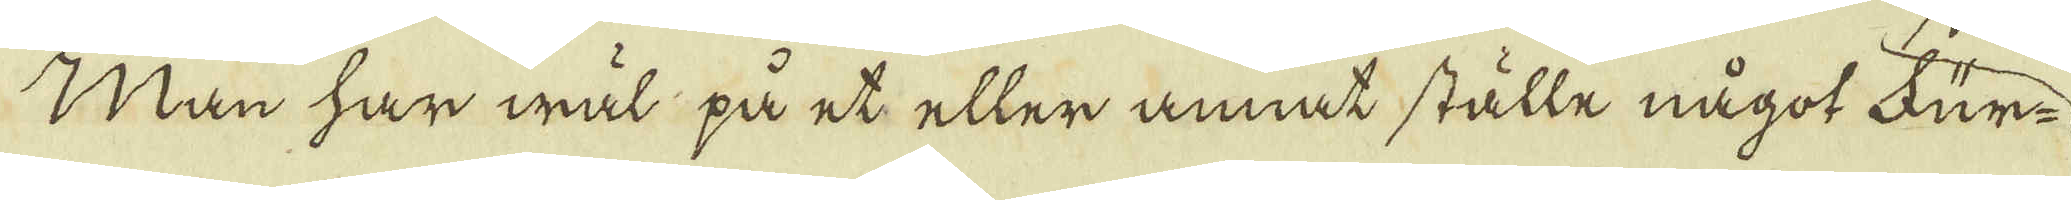Man har wäl på et eller annat ställe något Für-
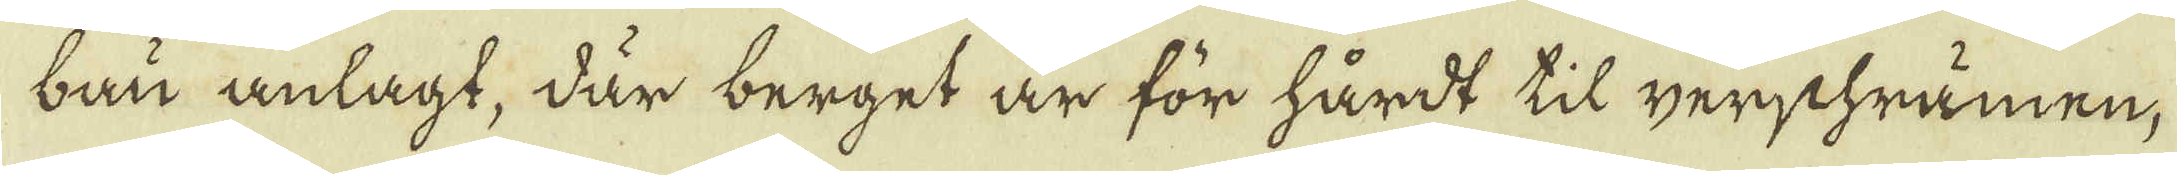bau anlagt, där berget är för hårdt til gerschrämen;
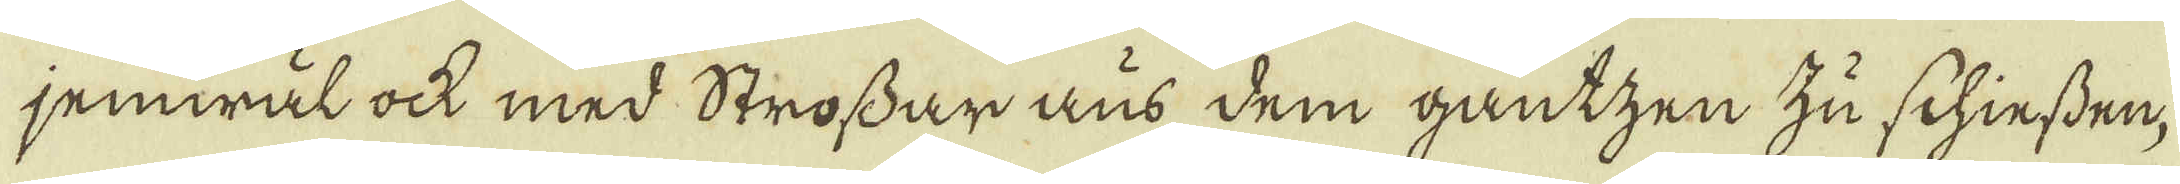jemwäl ock med Strossar aus dem gantzen zu schiessen,
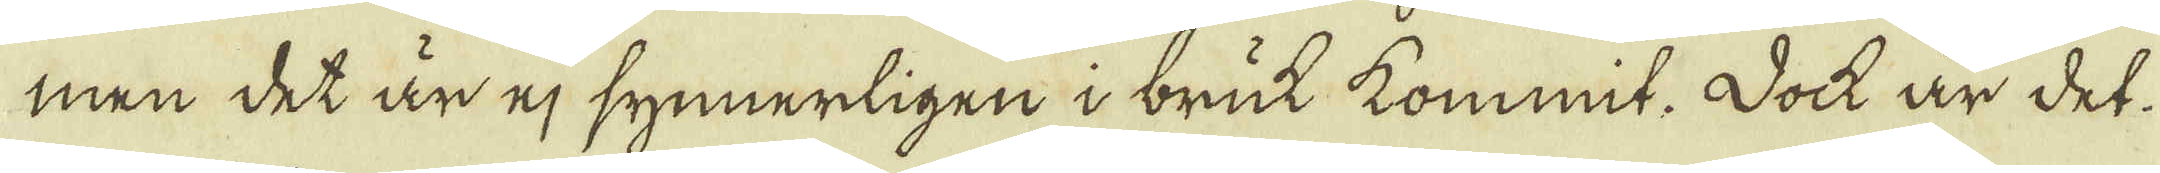men det är ej synnerligen i bruk kommit. Dock är det
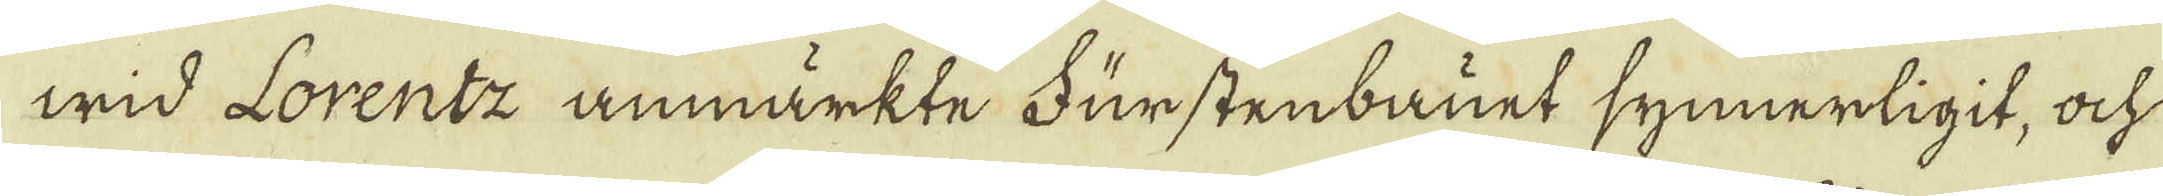wid Lorentz anmärkte Fürstenbauet synnerligit, och
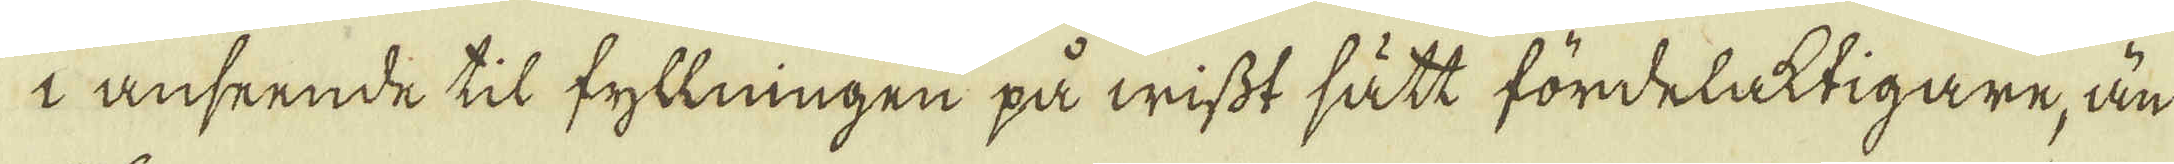i anseende til fyllningen på wisst sätt fördelaktigare, än
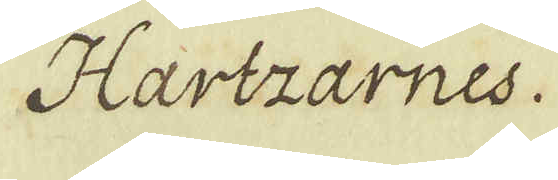Hartzarnes.
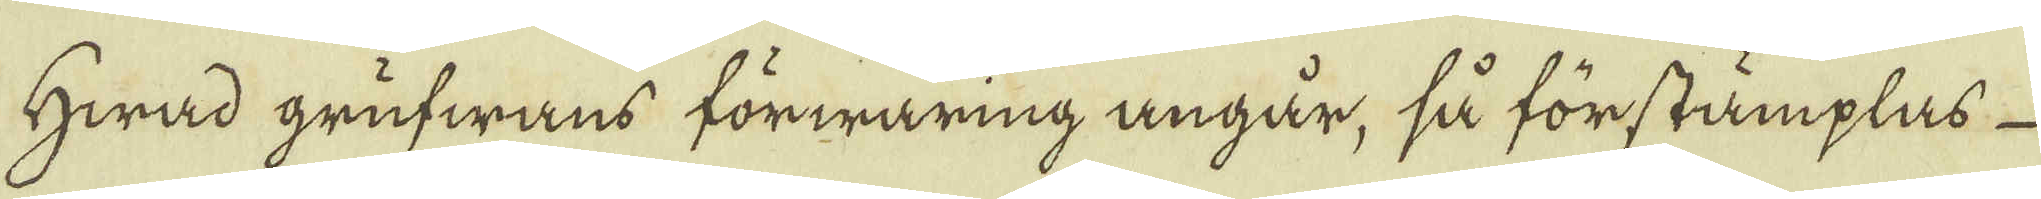Hwad grufwans förwaring angår, så förstämplas
